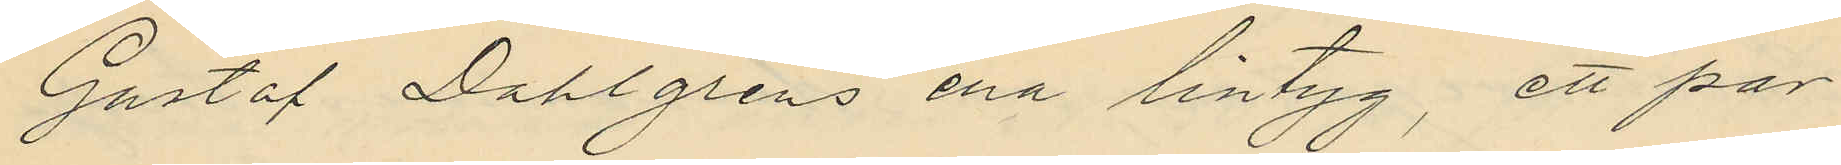Gustaf Dahlgrens ena lintyg, ett par
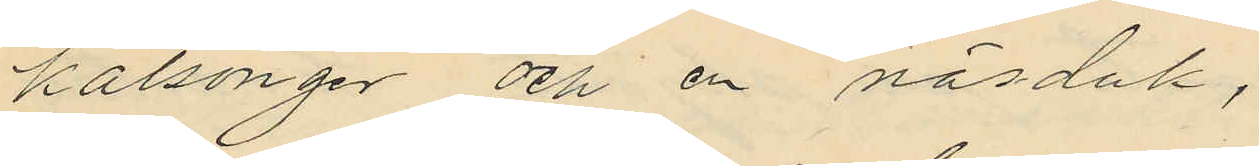kalsonger och en näsduk.
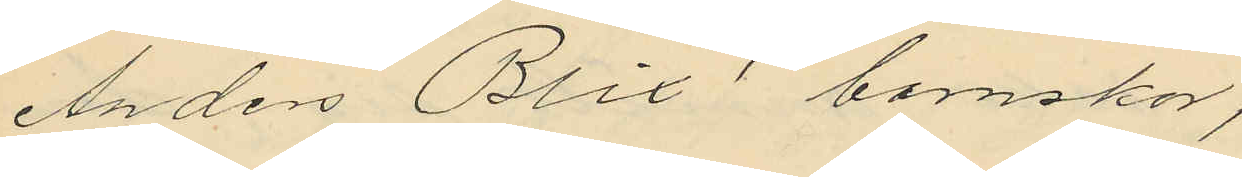Anders Blix´ barnskor;
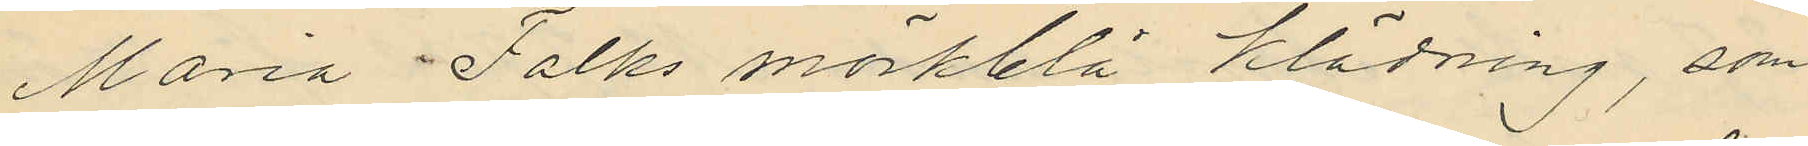Maria Falks mörkblå klädning, som
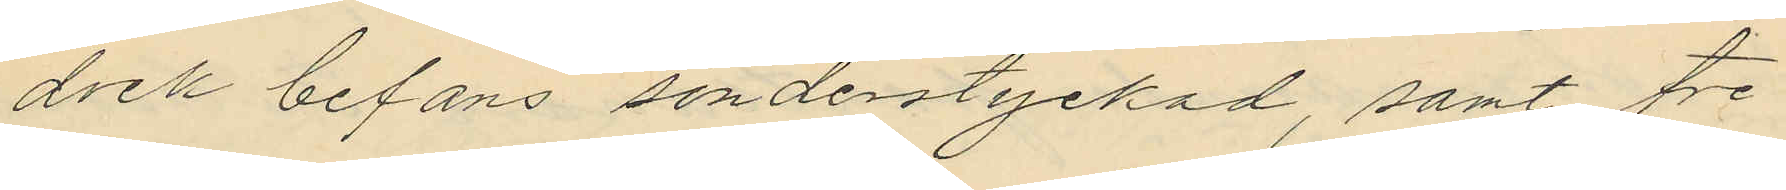dock befans sönderstyckad, samt tre
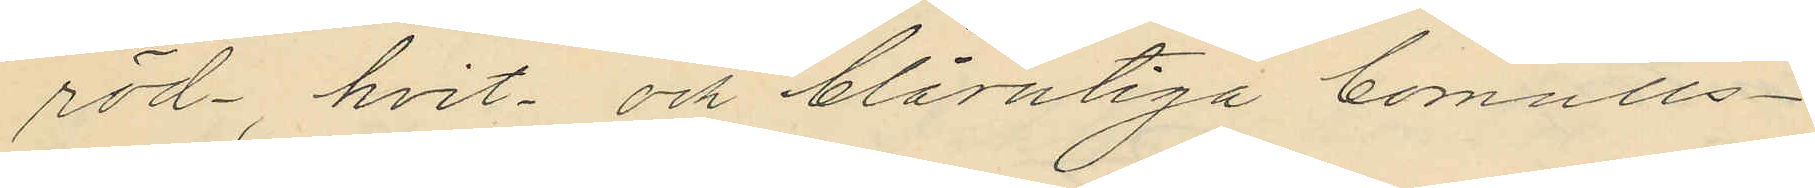röd- hvit och blårutiga bomulls¬
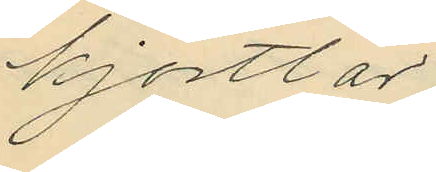kjortlar
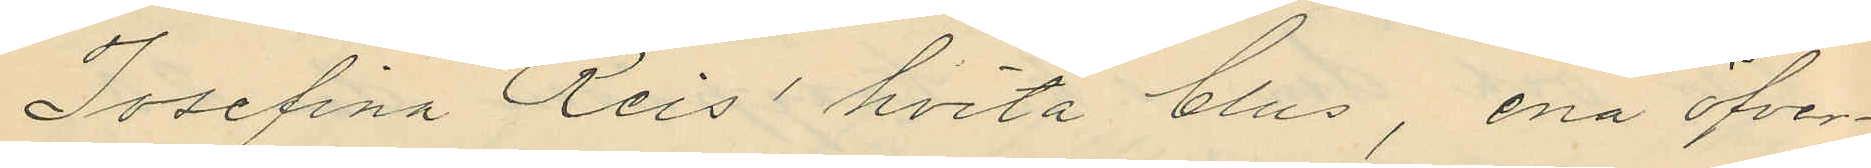Josefina Reis´ hvita blus, ena öfver¬
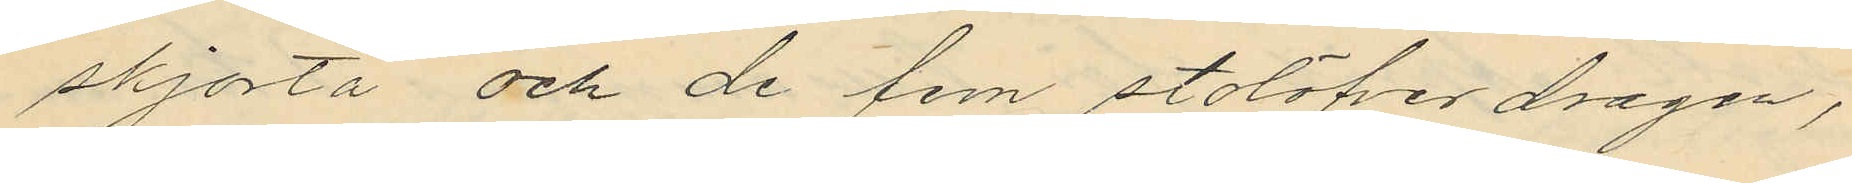skjorta och de fem stolöfverdragen,
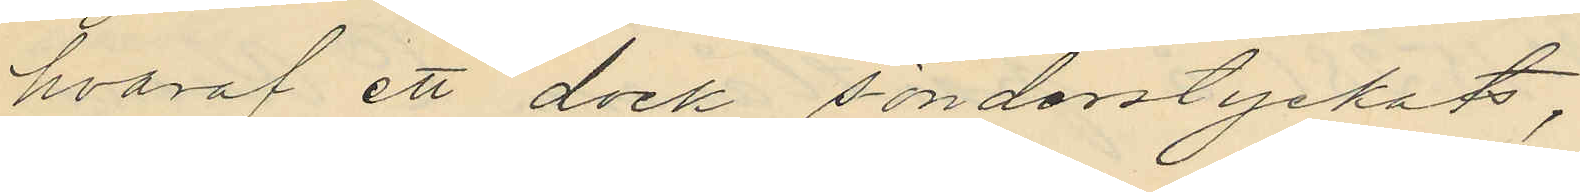hvaraf ett dock sönderstyckats,
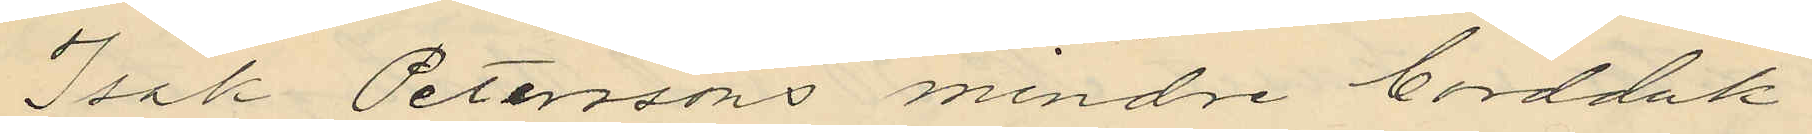Isak Peterssons mindre bordduk
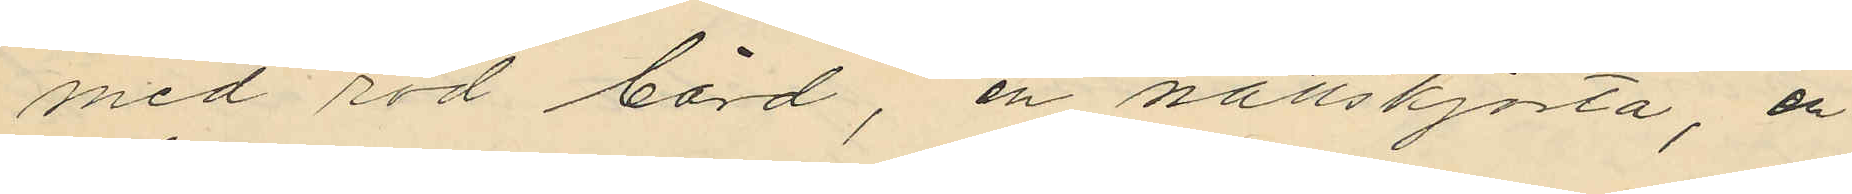med röd bård, en nattskjorta, en
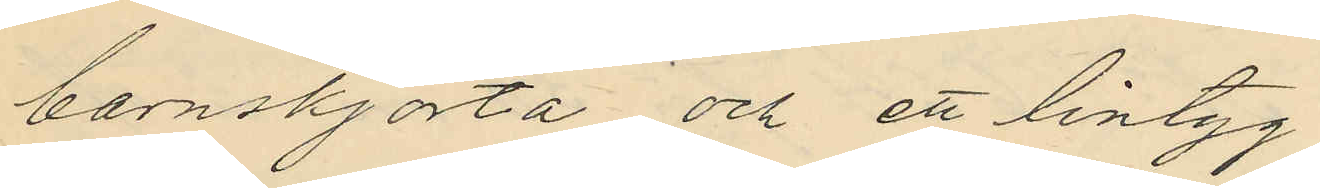barnskjorta och ett lintyg
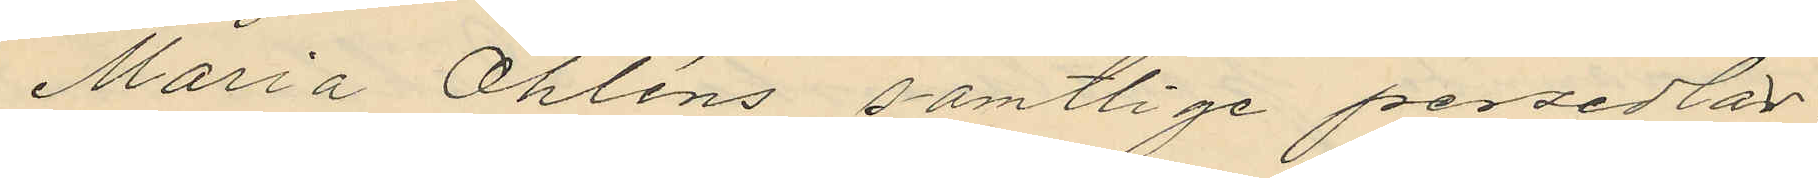Maria Öhléns samtlige persedlar
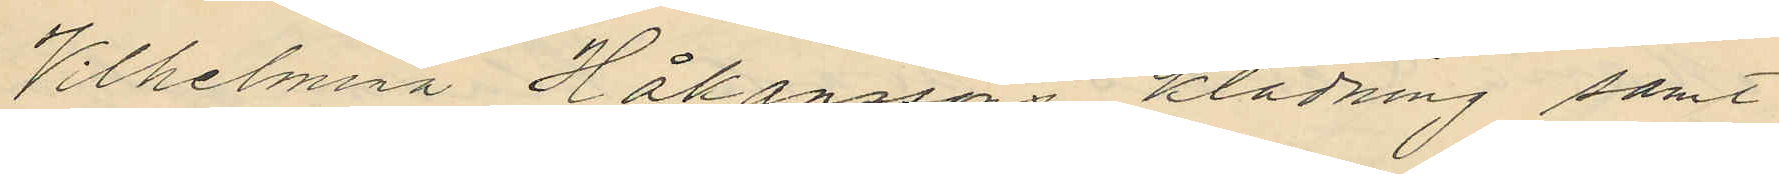Wilhelmina Håkanssons klädning samt
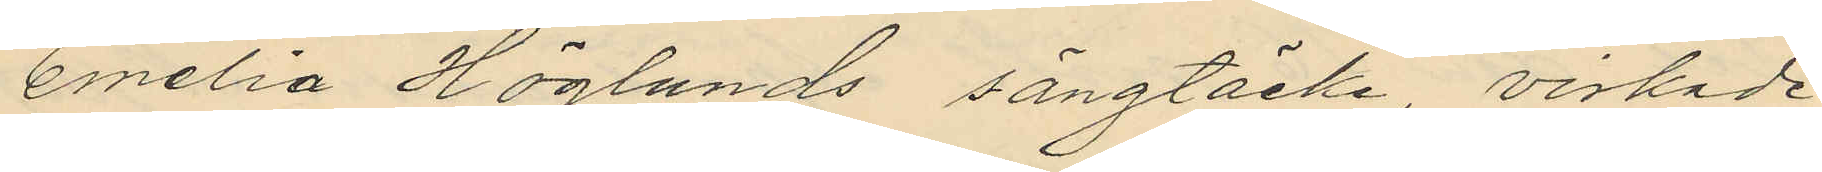Emelia Höglunds sängtäcke virkade
